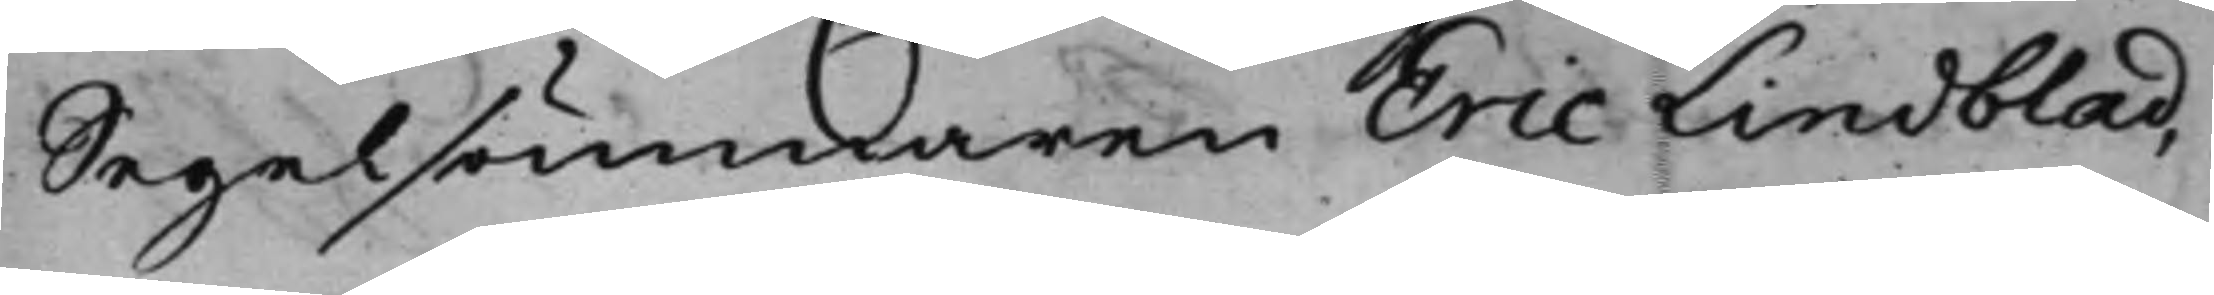Segelsömmaren Eric Lindblad,
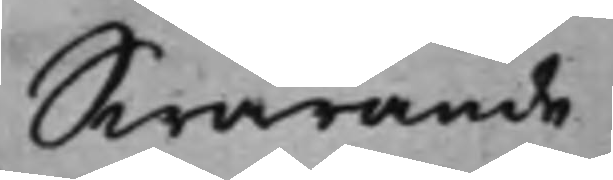Swarande
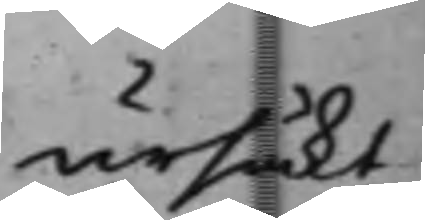ursäkt
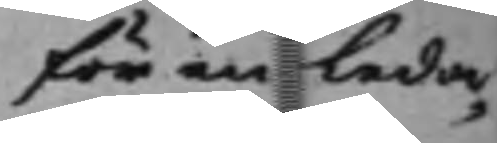för en leda¬
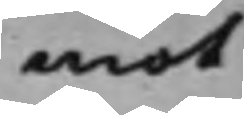mot
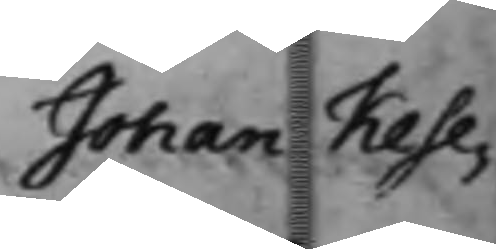Johan Kese¬
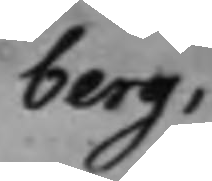berg.
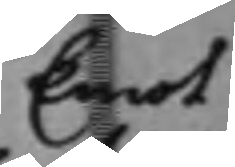Emot
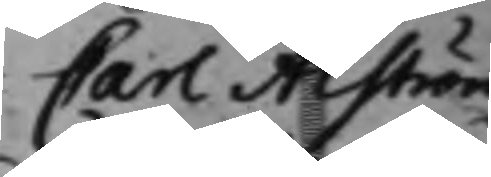Carl Alström
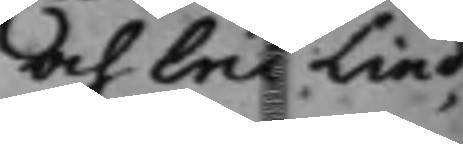och Eric Lind¬
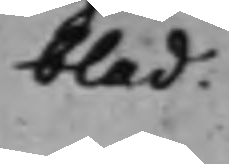blad.
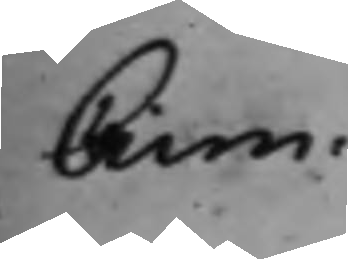Crim.
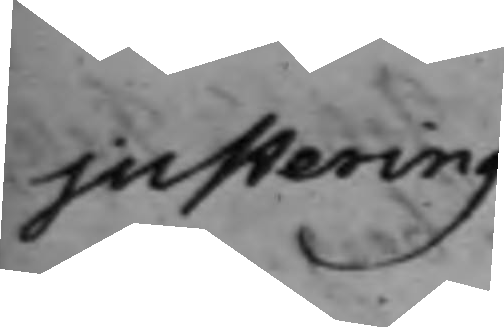justering
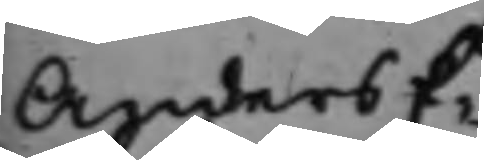Anders E¬
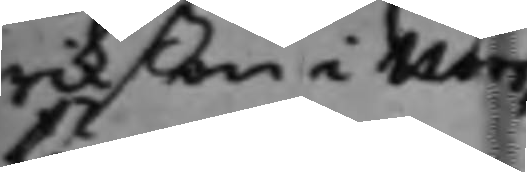rikßon i Norr¬
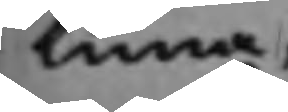tuna,
